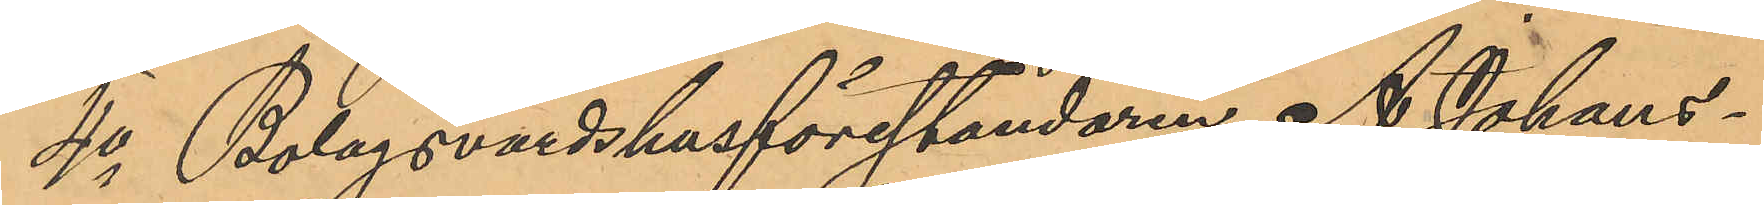4o Bolagsvärdshusföreståndaren A. Johans¬
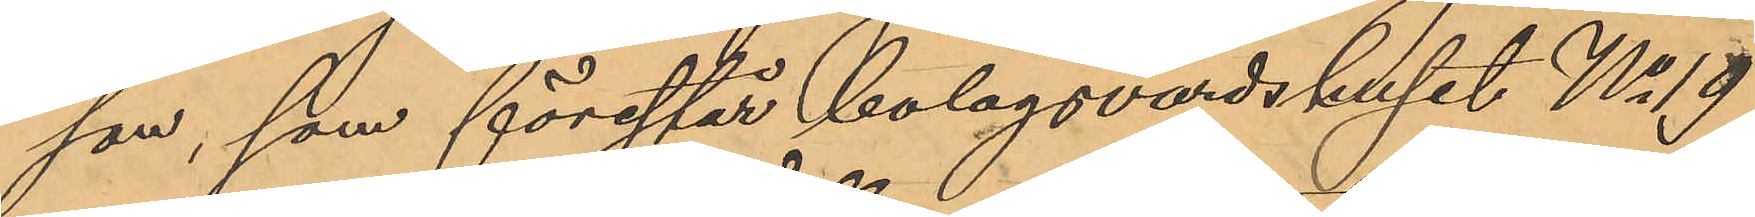son, som förestår bolagsvärdshuset No 19
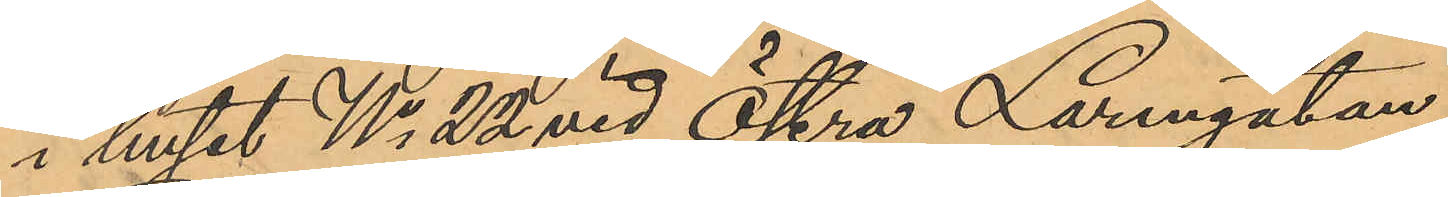i huset No 22 vid Östra Larmgatan,
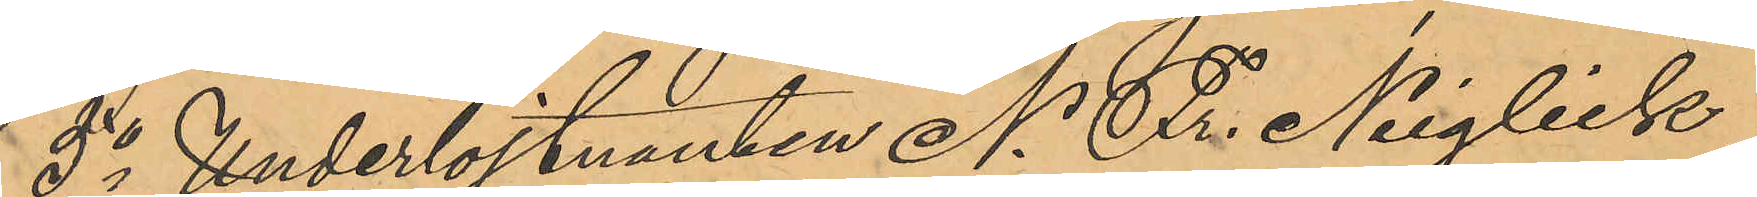5o Underlöjtnanten N. Fr. Neiglick
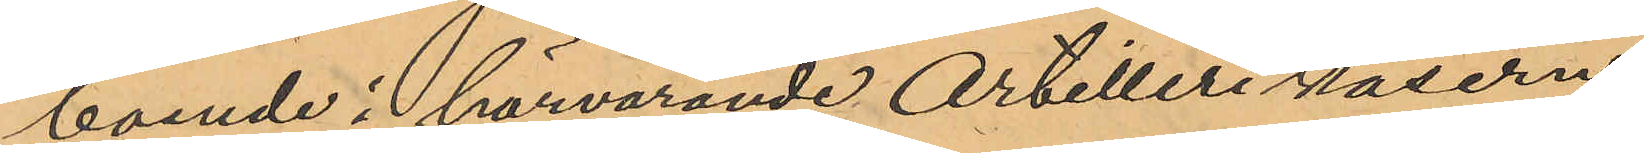boende i härvarande Artilleri kasern,
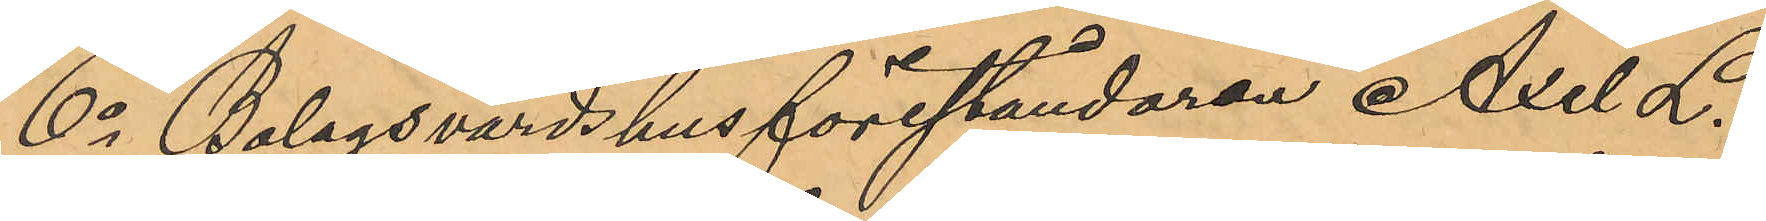6o Bolagsvärdshusföreståndaren Axel L.
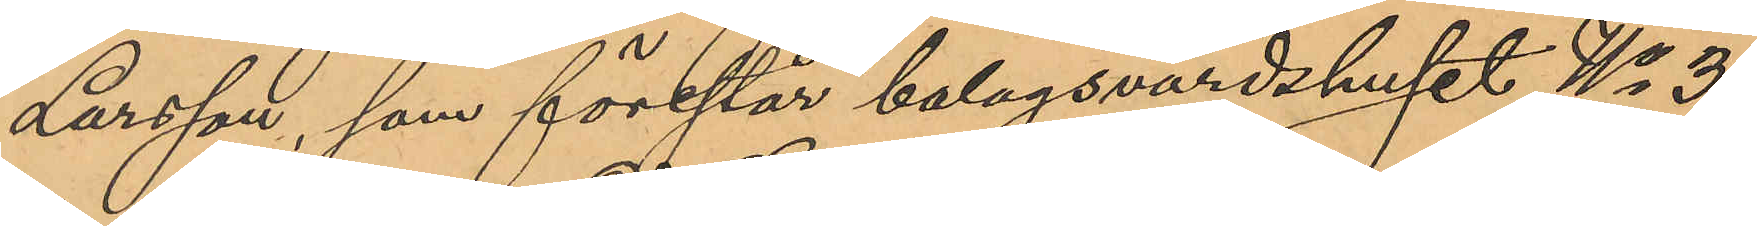Larsson, som förestår bolagsvärdshuset No 3
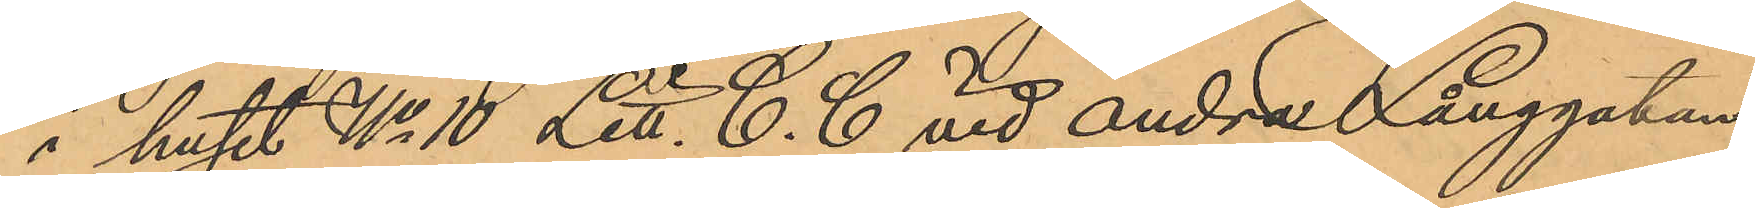i huset No 10 Litt. C. C vid andra Långgatan,
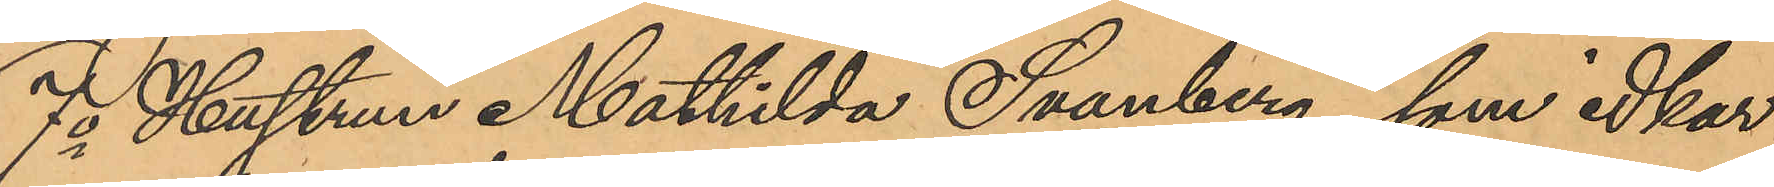7o Hustrun Mathilda Svanberg, som idkar
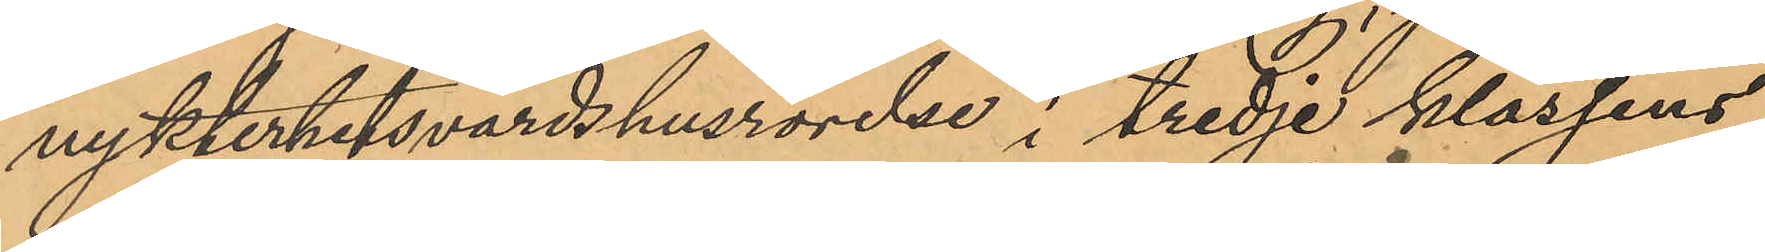nykterhetsvärdshusrörelse i tredje klassens
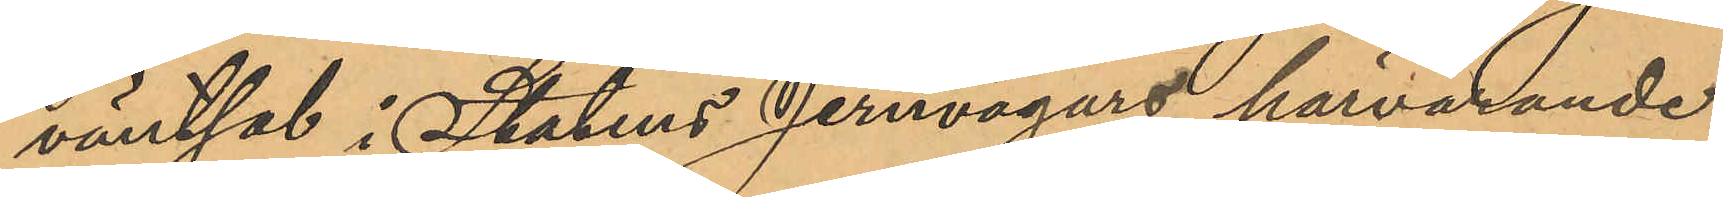väntsal i Statens Jernvägars härvarande
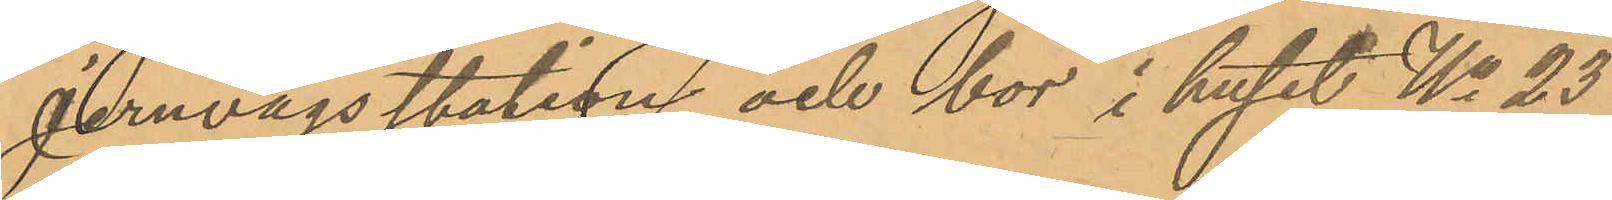Jernvägsstation och bor i huset No 23
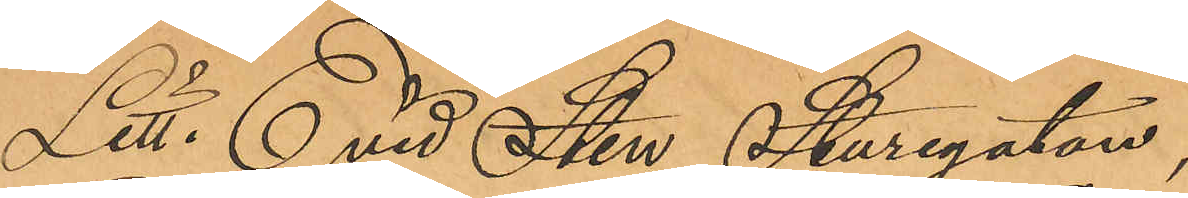Litt. E vid Sten Sturegatan,
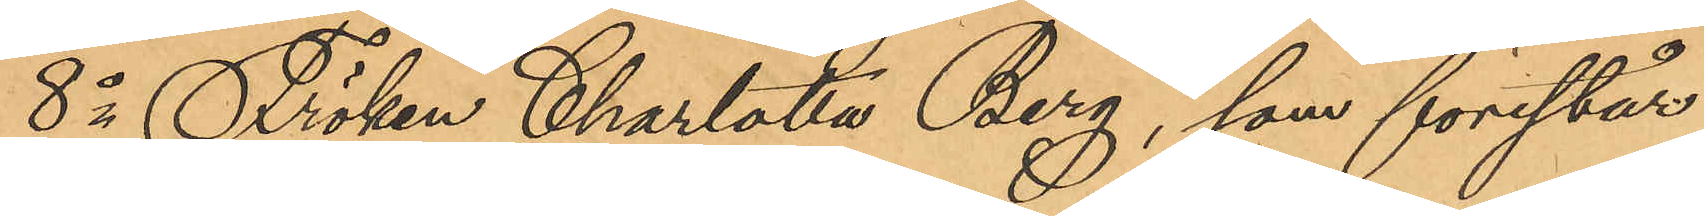8o Fröken Charlotta Berg, som förestår
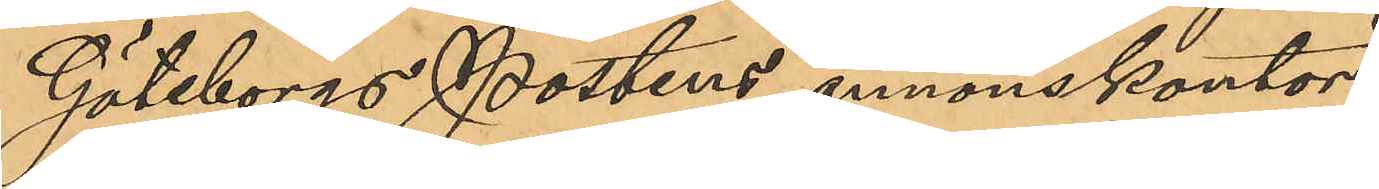Göteborgs Postens annonskontor,
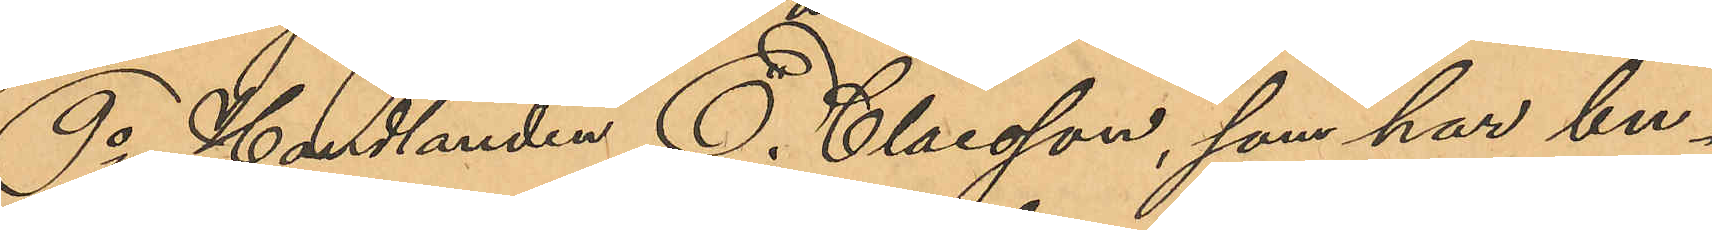9o Handlanden E. Claesson, som har bu¬
